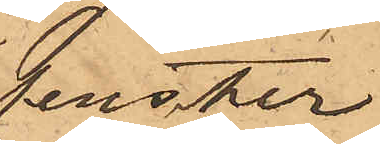fenster
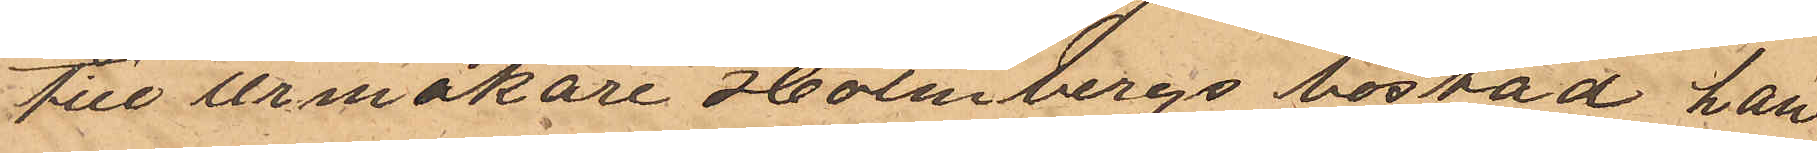till Urmakare Holmbergs bostad han
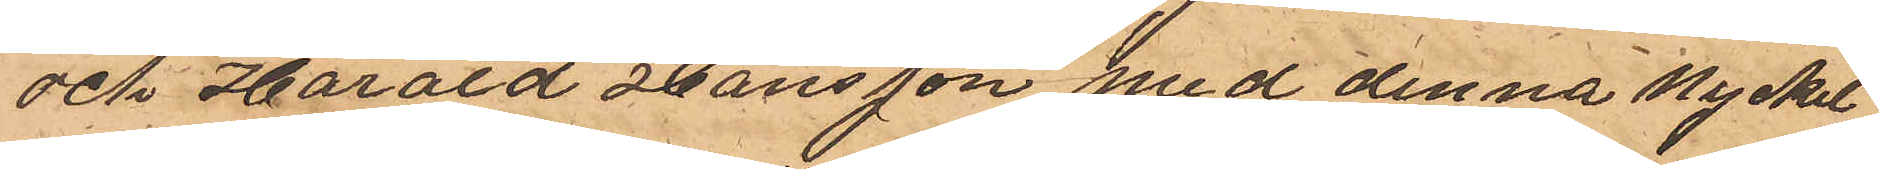och Harald Hansson med denna nyckel
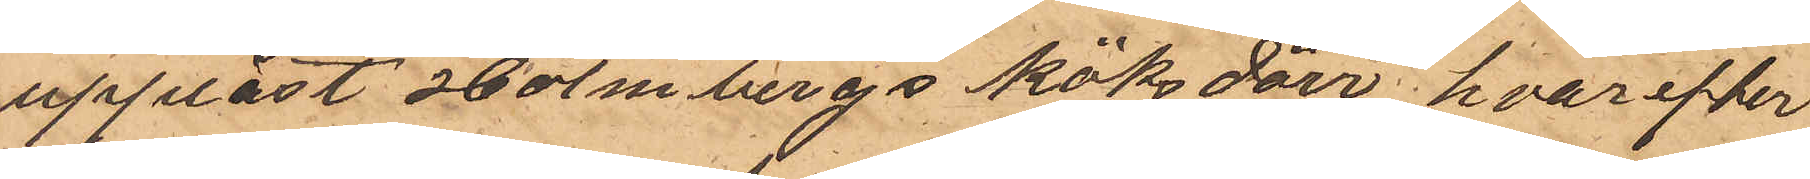upplåst Holmbergs köksdörr hvarefter
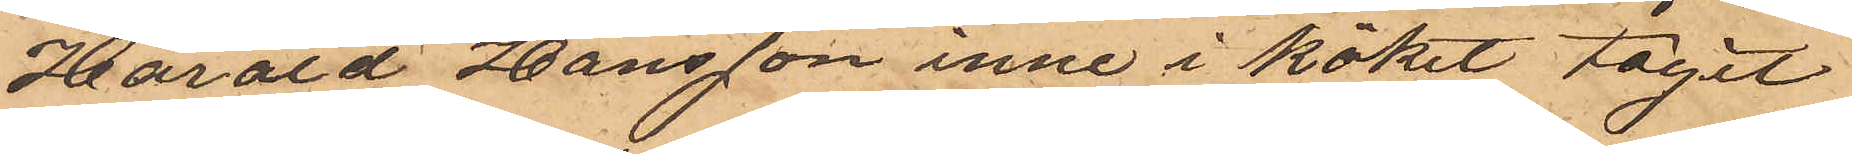Harald Hansson inne i köket tagit
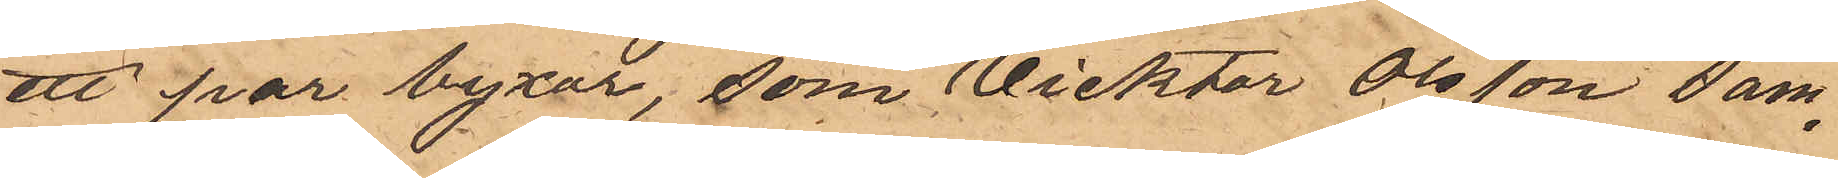ett par byxor, som Vicktor Olsson sam¬
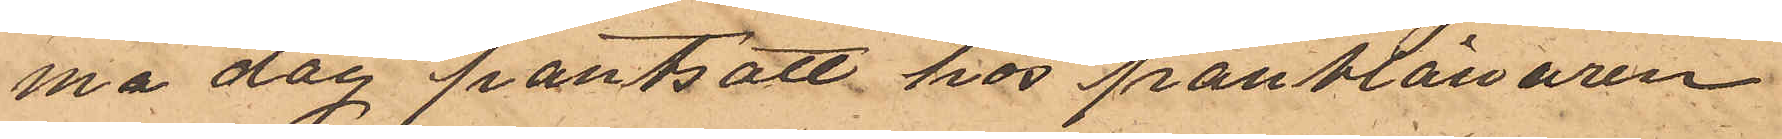ma dag pantsatt hos pantlånaren
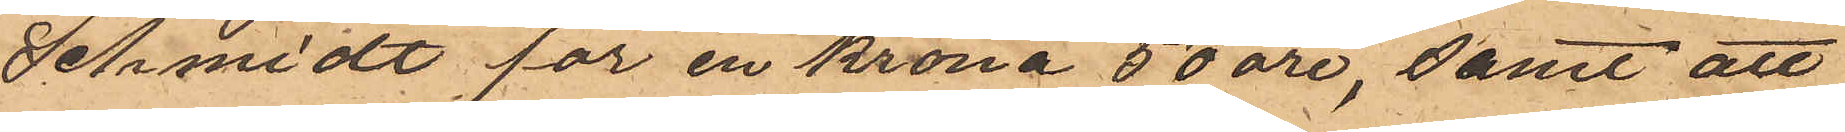Schmidt för en krona 50 öre, samt att
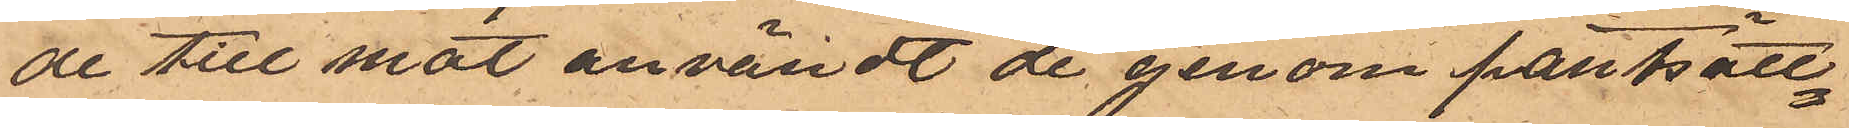de till mat användt de genom pantsätt¬
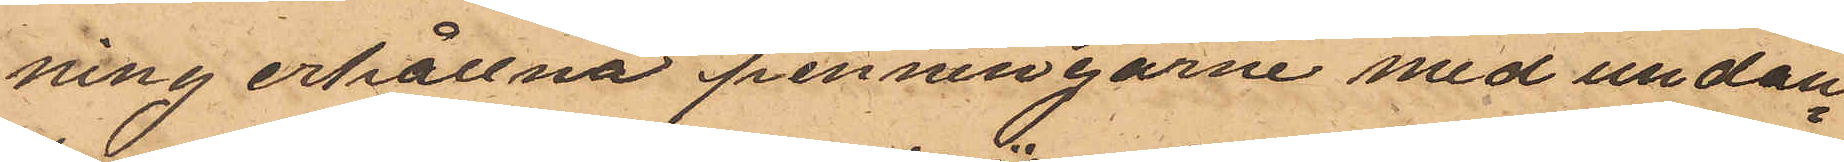ning erhållna penningarne med undan¬
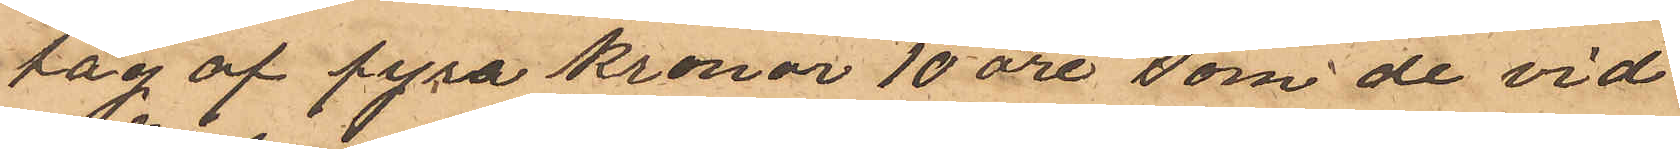tag af fyra kronor 10 öre, som de vid
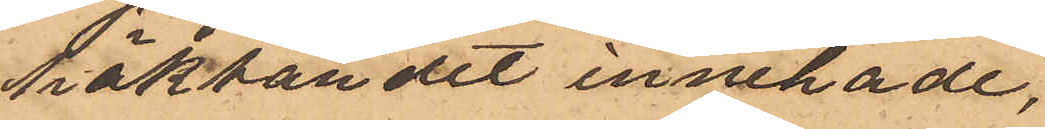häktandet innehade,
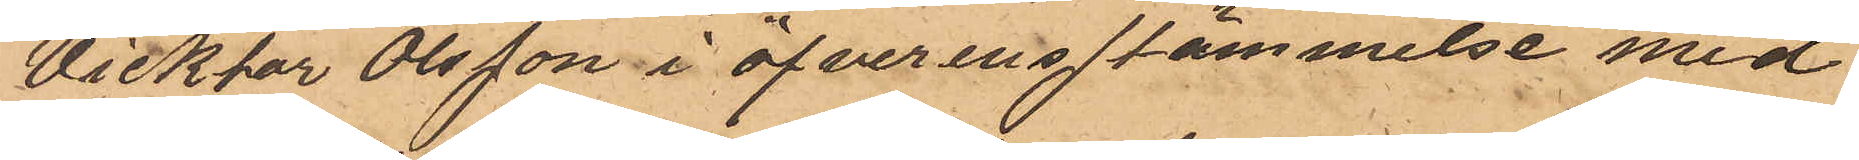Vicktor Olsson i öfverensstämmelse med
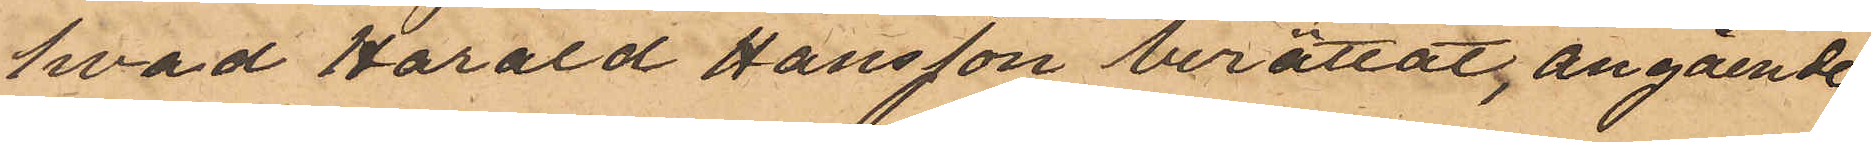hvad Harald Jansson berättat, angående
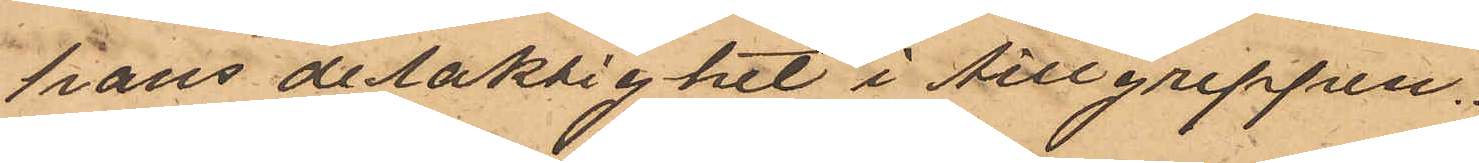hans delaktighet i tillgreppen.
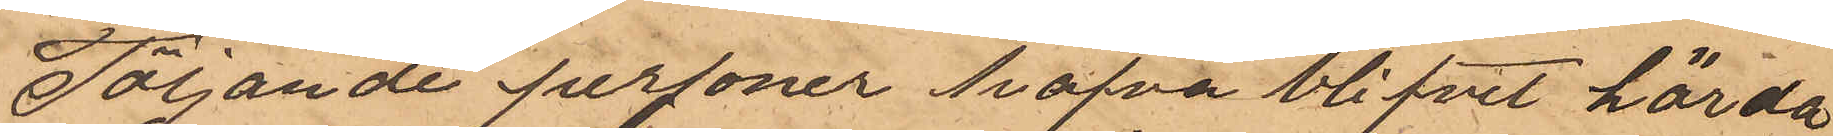Följande personer hafva blifvit hörda
